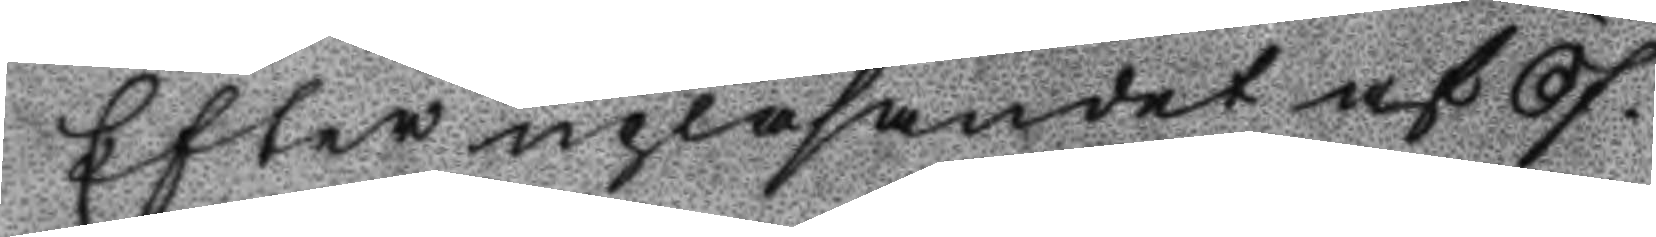Efter upläsandet af Öf¬
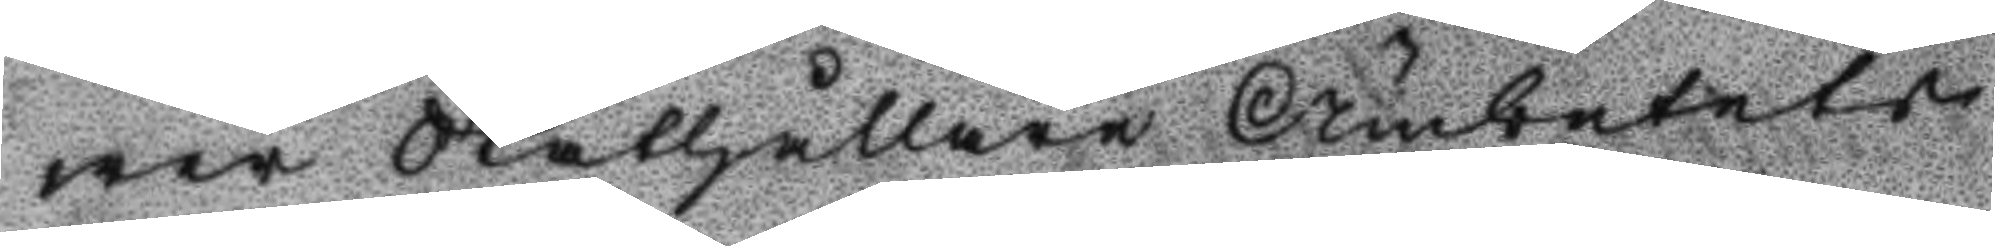wer Ståthållare Ämbetets
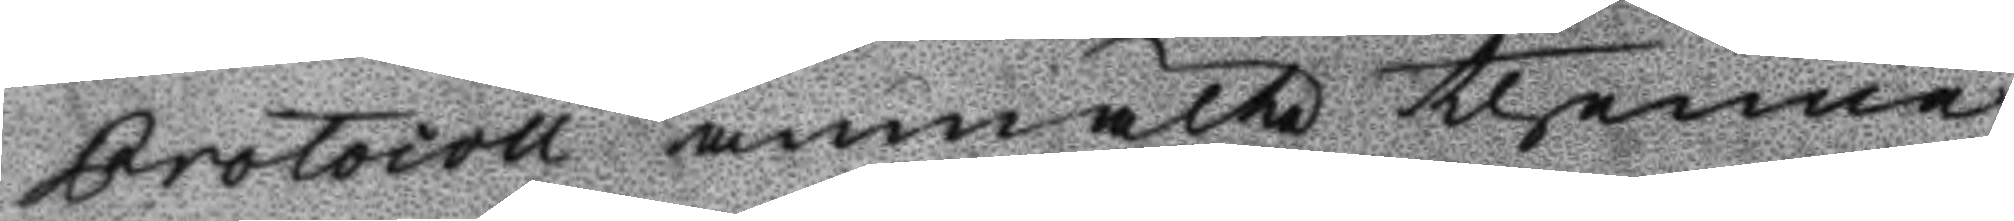Protocoll anmälte thenne
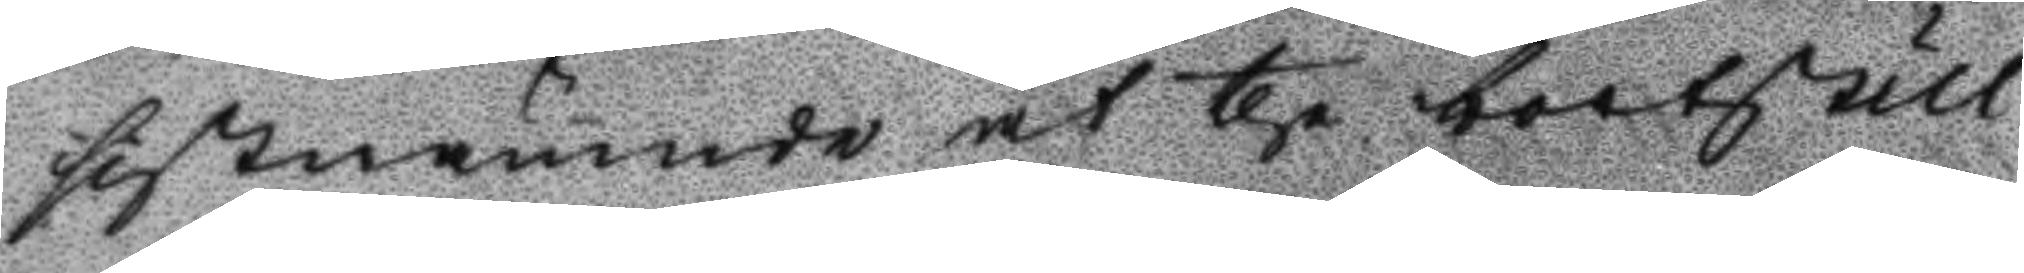sistnämnde at the bortstull¬
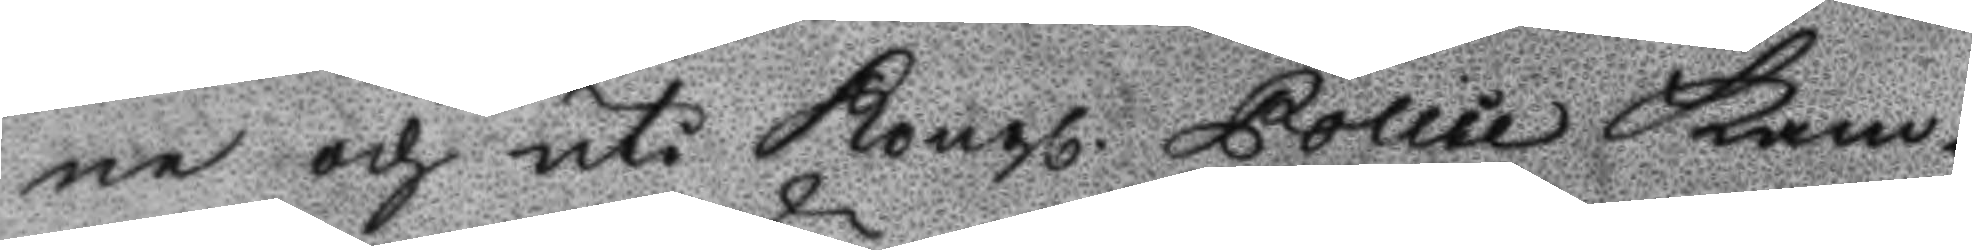ne och uti Kongl. Police Kam¬
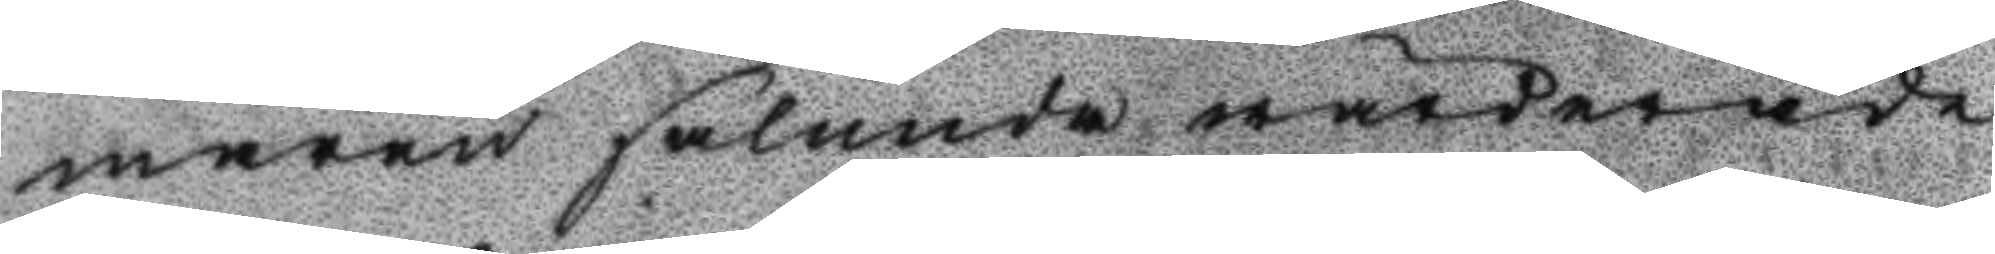maren sålunda wärderade
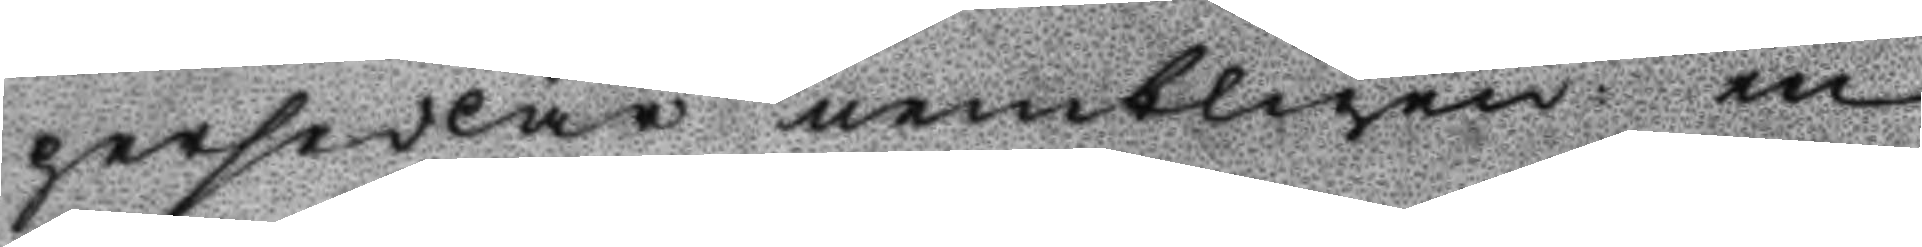persedlar nembligen en
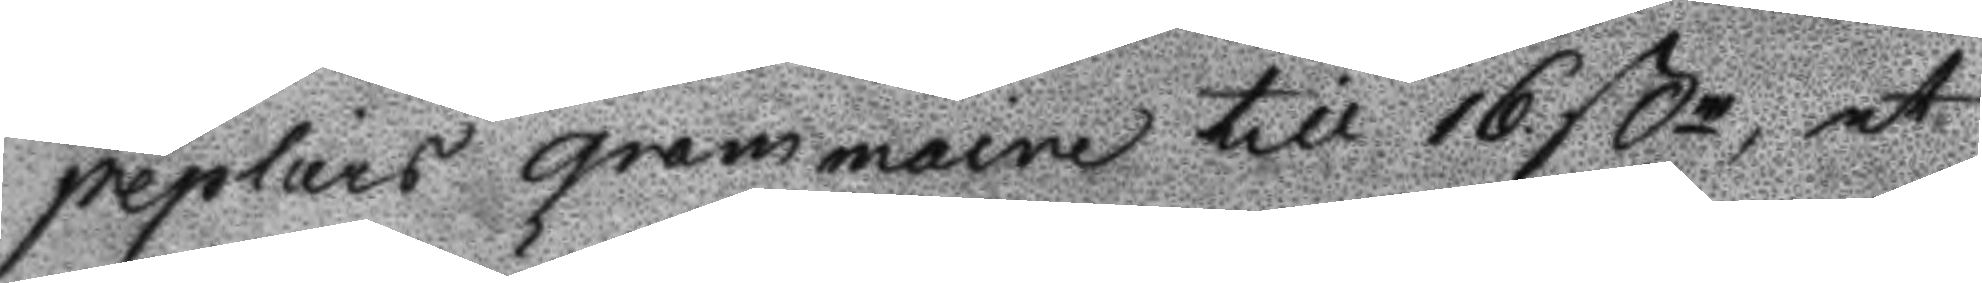peplurs gram maine till 16 ßn, et
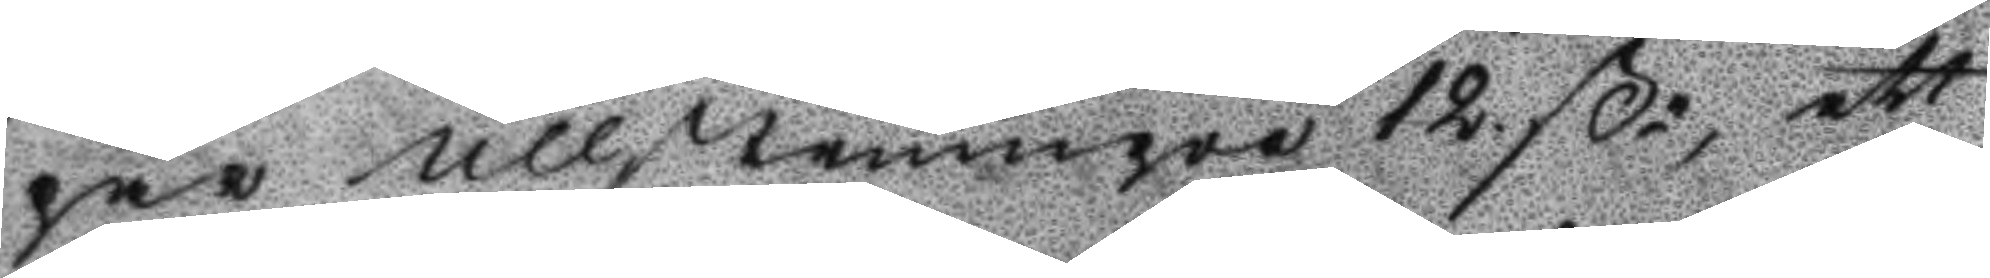par ullstrumpor 12. ßn, ett
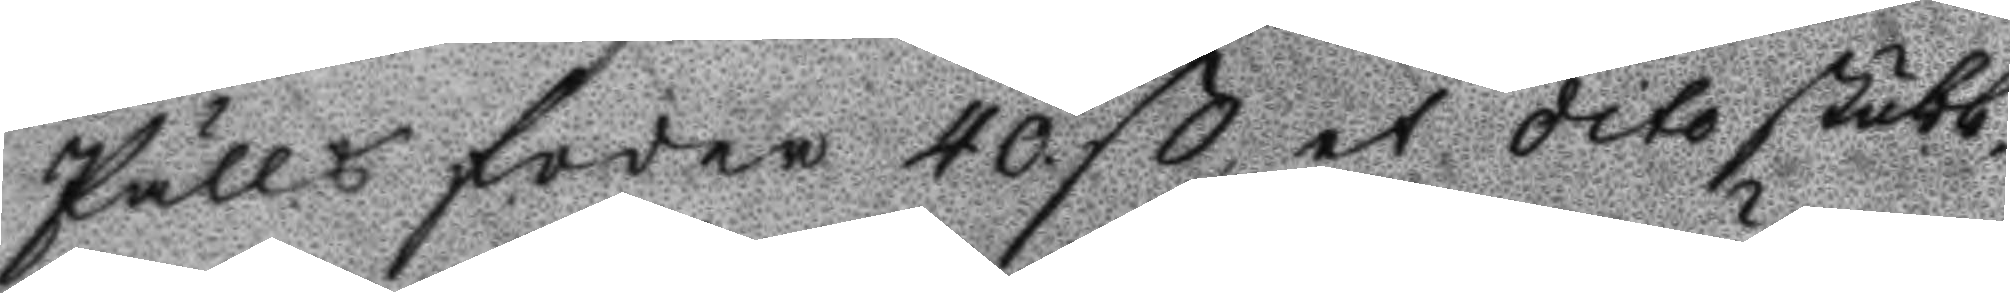Pälls foder 40. ß, et dito stubb¬
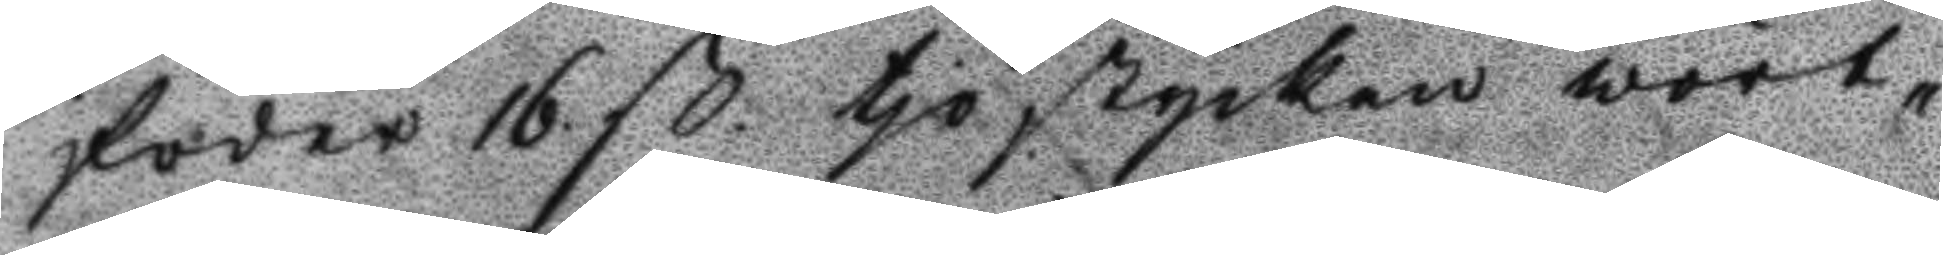foder 16 ß. tjo stycken wört¬
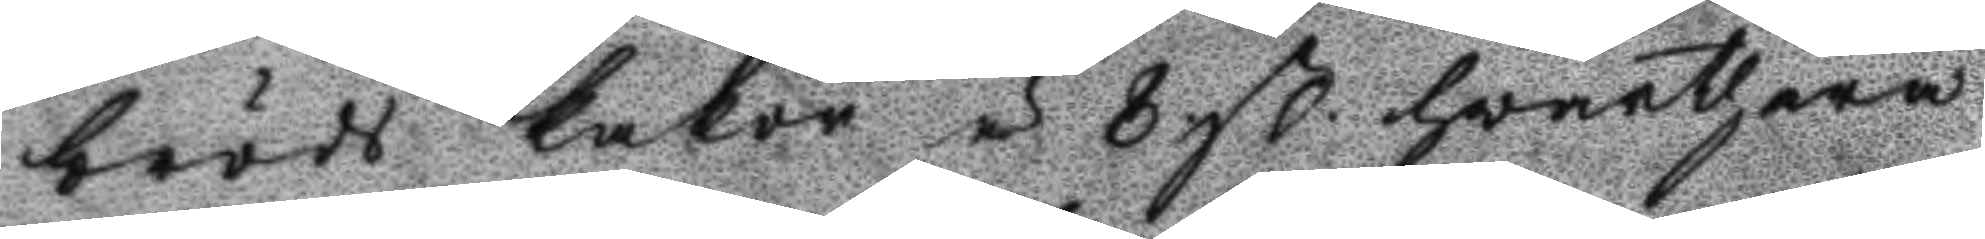bröds kakor á 8 ß. hvarthera
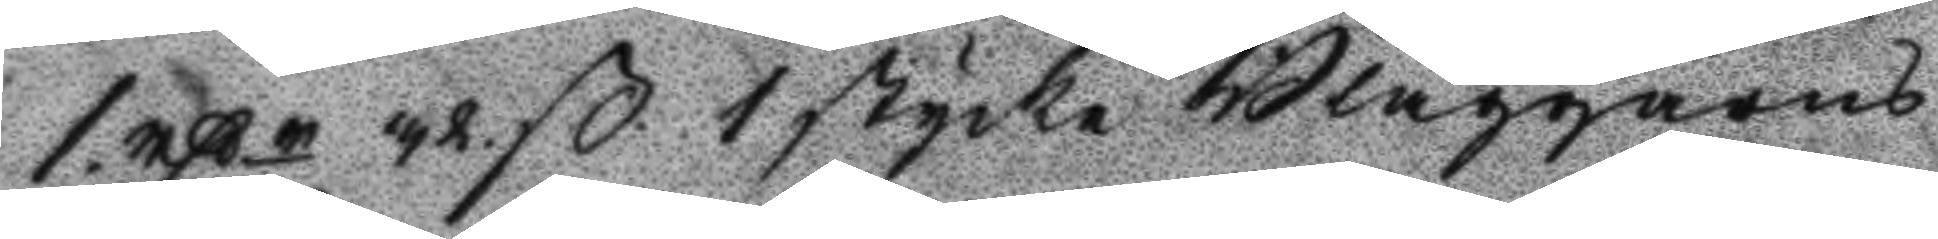1. rßr 32 ß 1 stycke Blaggarns
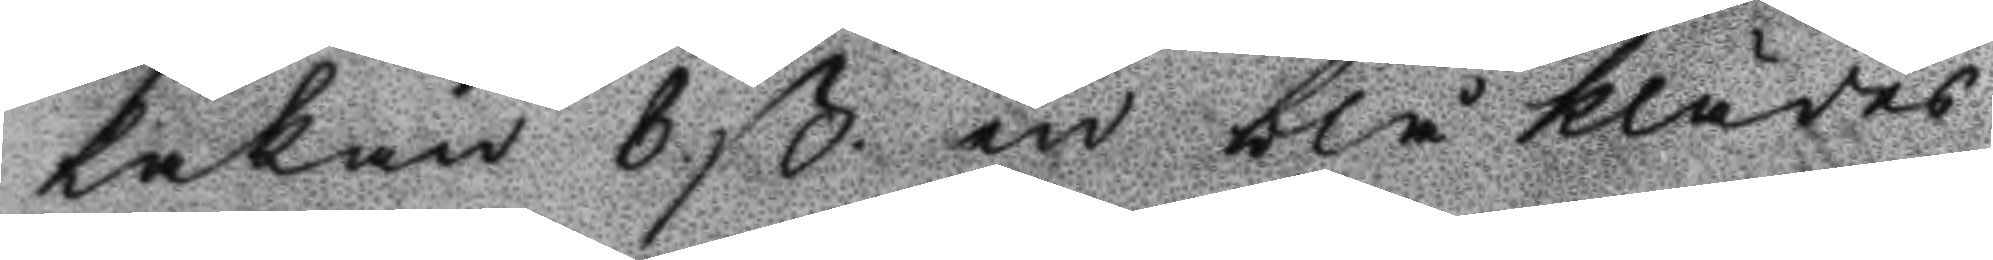Lakan 8 ß en blå klädes
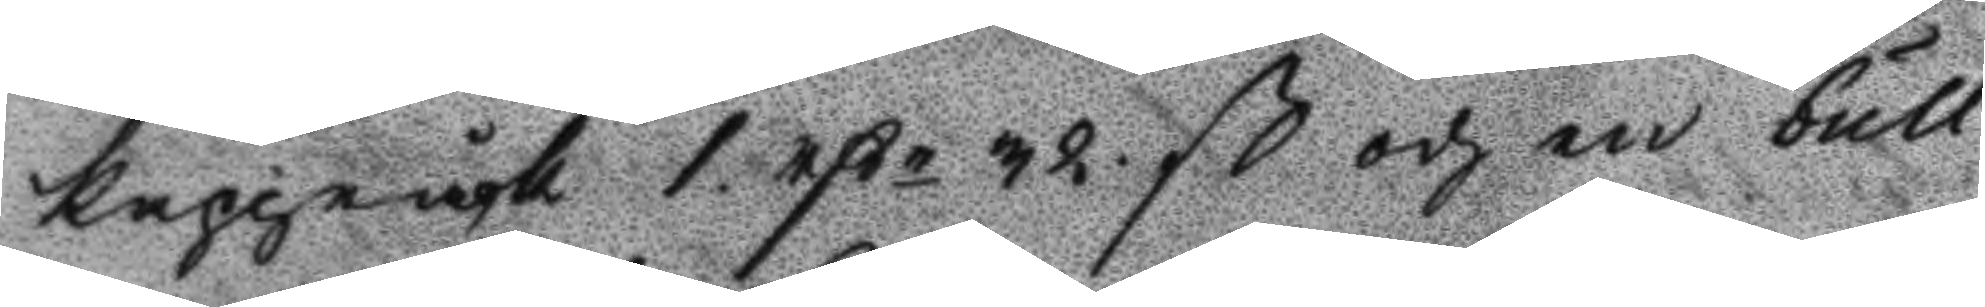kappråck 1 rßr 32 ß och en bull¬
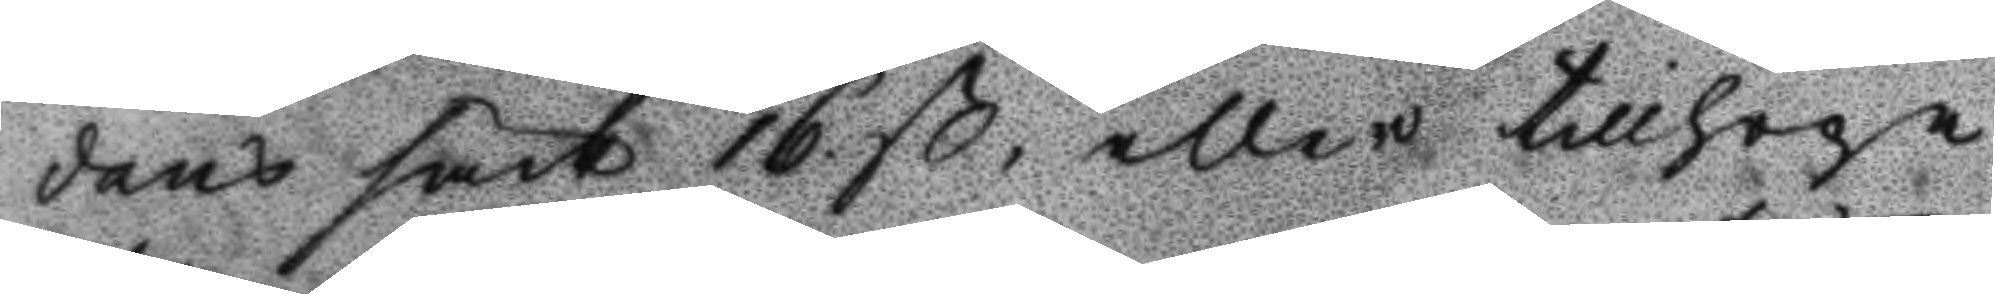dans särk 16. ß, eller tillhopa
